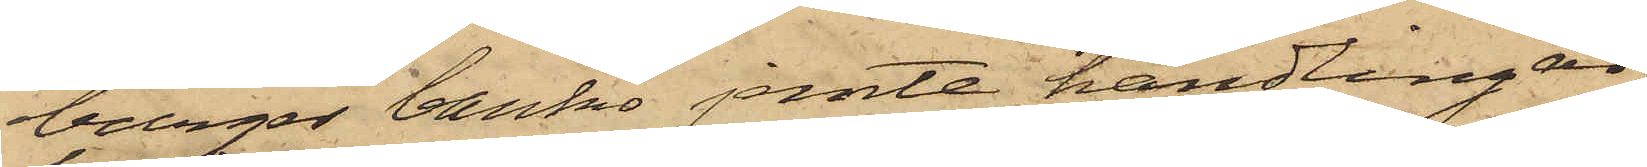burger banko jemte handlingar;
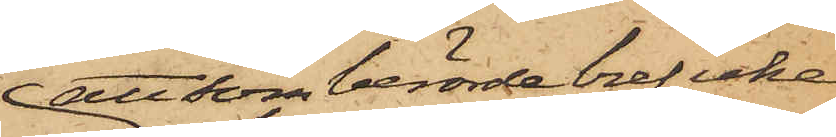att som berörde bref icke
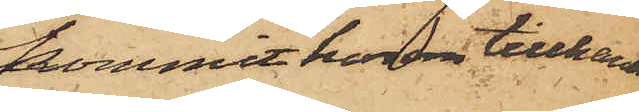kommit honom tillhanda
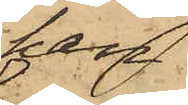han
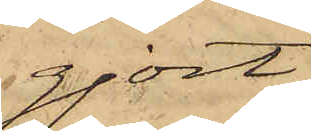gjort
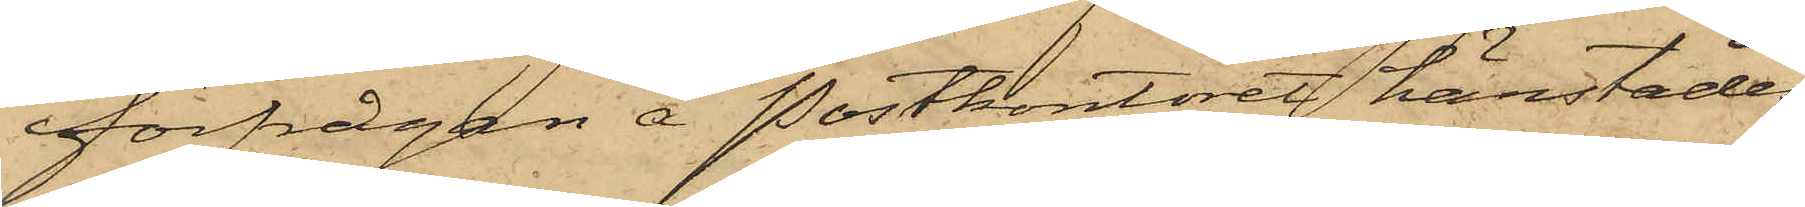förfrågan å Postkontoret härstädes
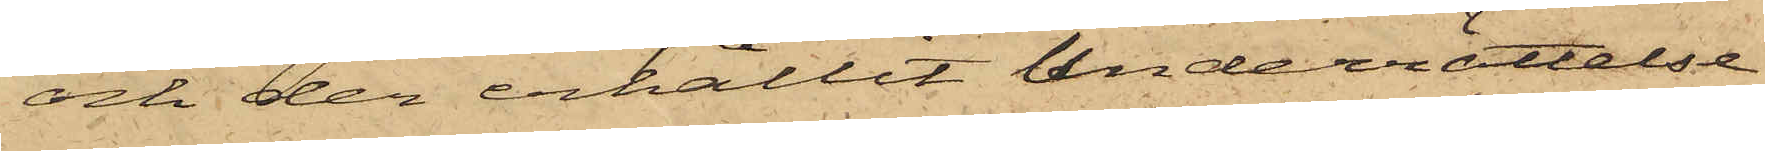och der erhållit underrättelse
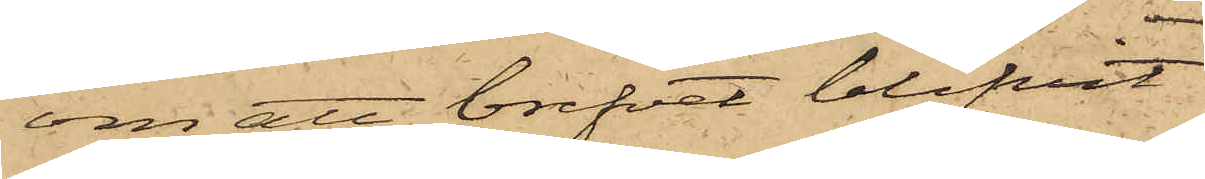om att brefvet blifvit
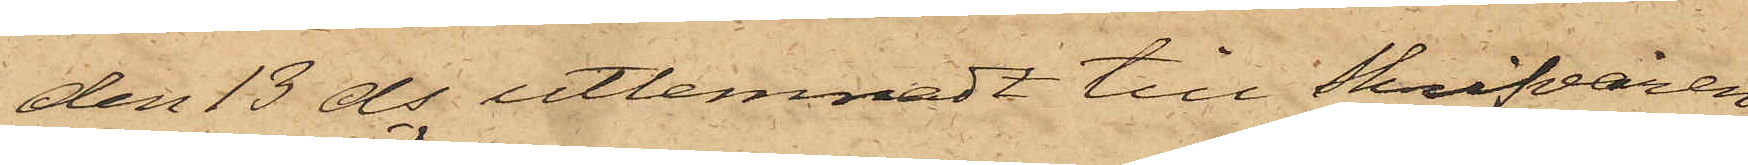den 13 ds utlemnadt till Skrifvaren
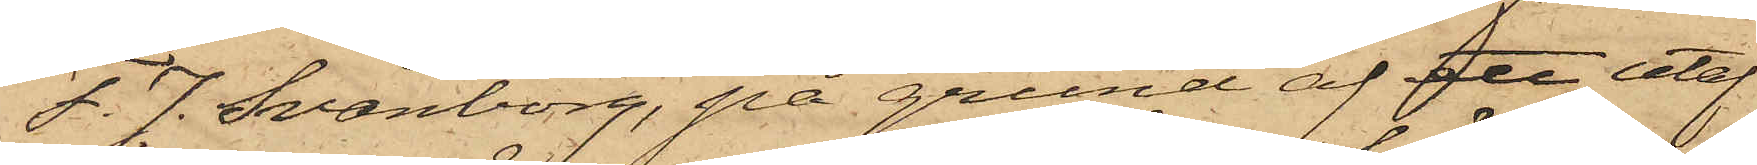F. J. Svänborg, på grund af ett utaf
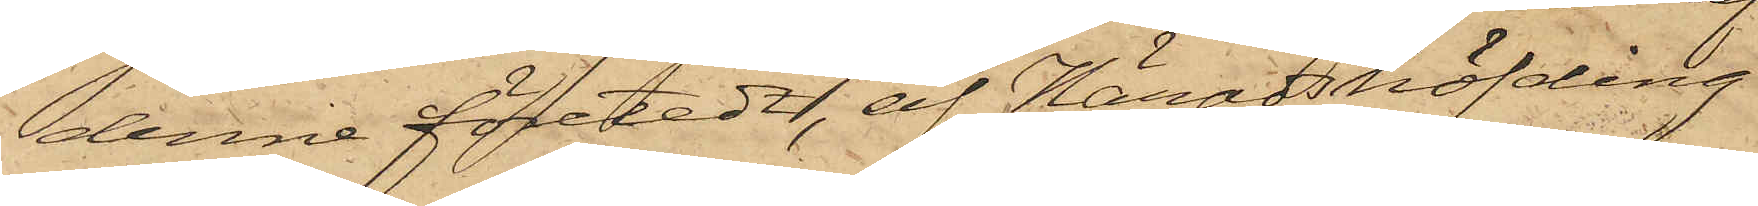denne företedt, af Häradshöfding
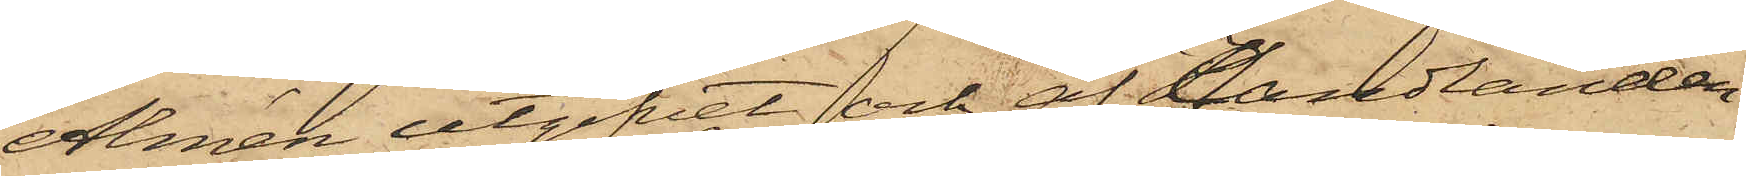Almén utgifvet och af Handlanden
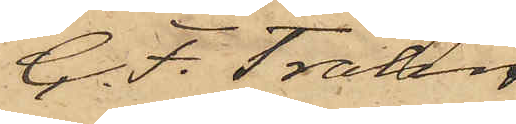C. F. Trahn
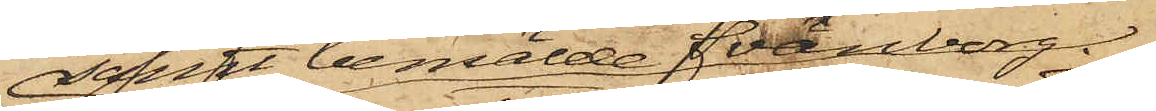samt bemälde Svänborg
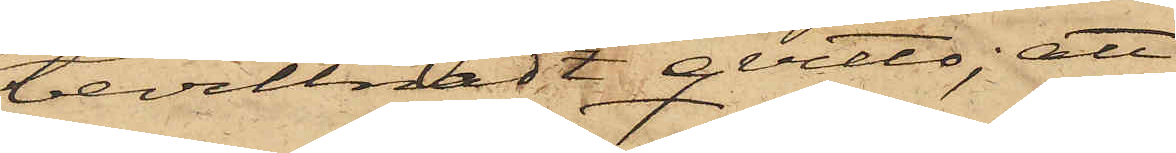bevittnadt qvitto; att
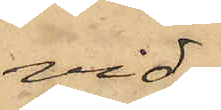vid
